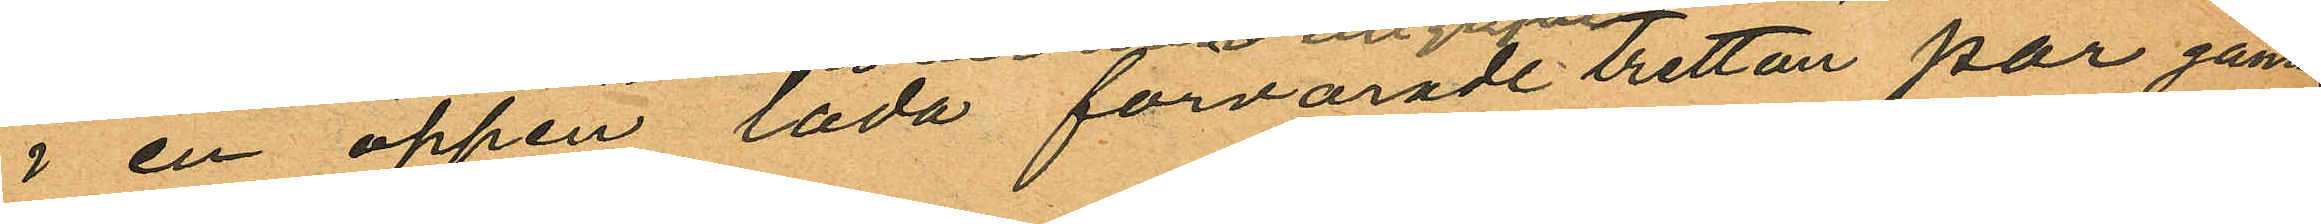i en öppen låda förvarade tretton par gam¬
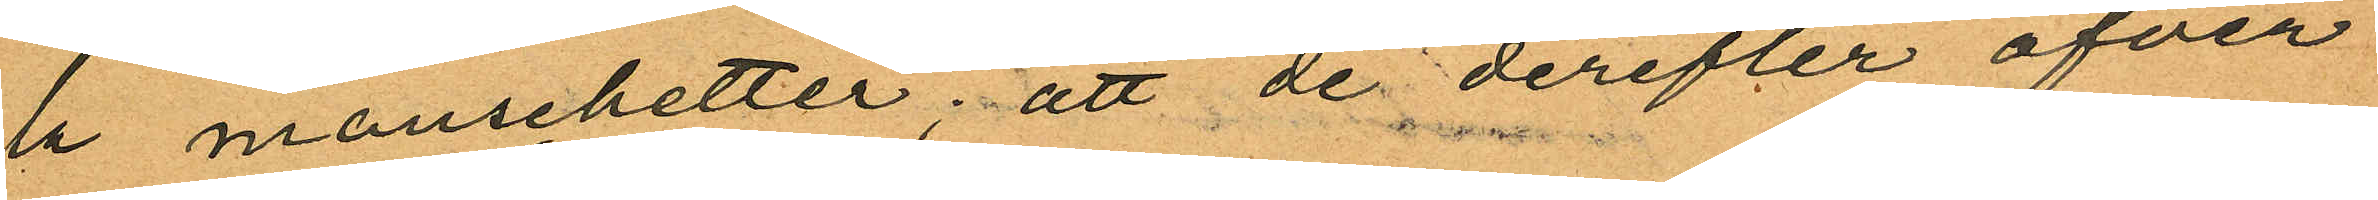la manschetter; att de derefter öfver
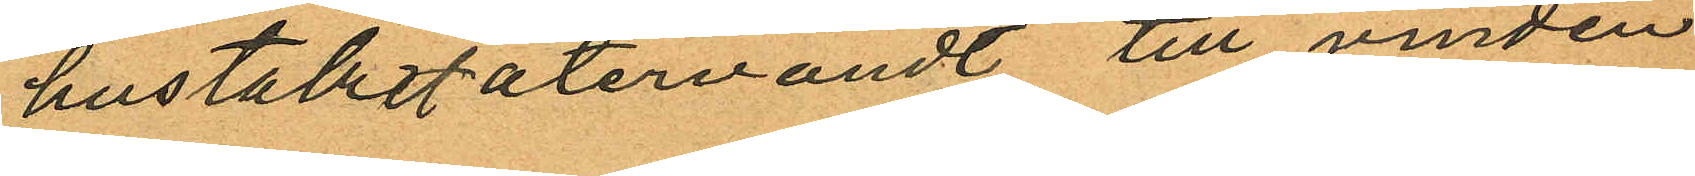hustaket återvändt till vinden
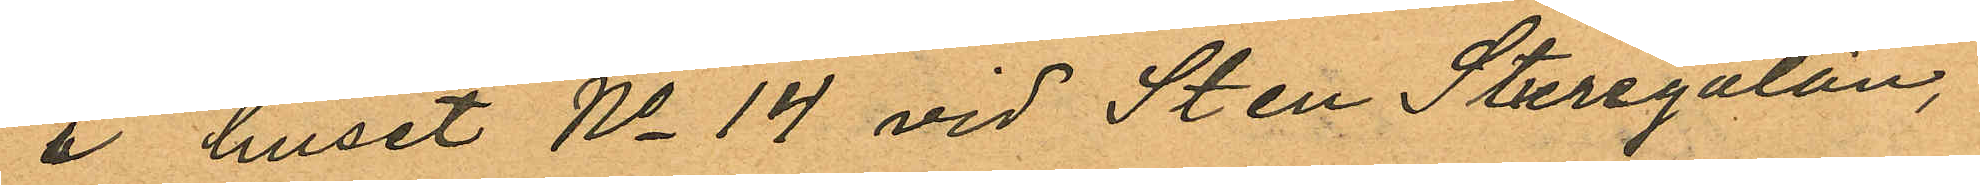å huset No 14 vid Sten Sturegatan,
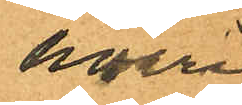hvari
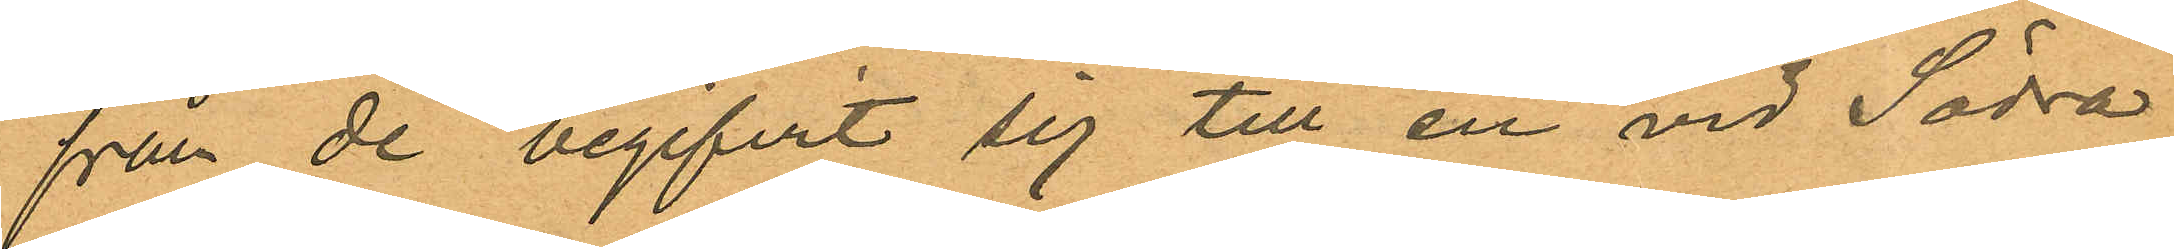från de begifvit sig till en vid Södra
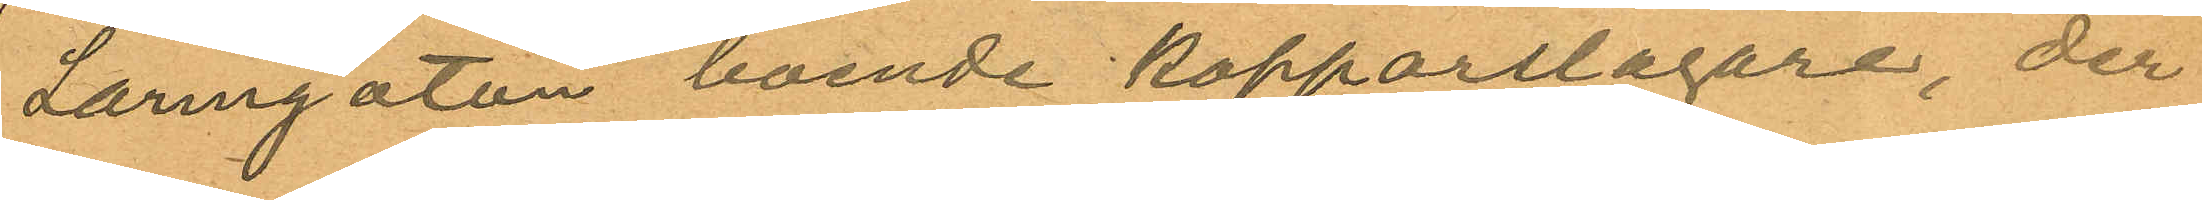Larmgatan boende kopparslagare, der
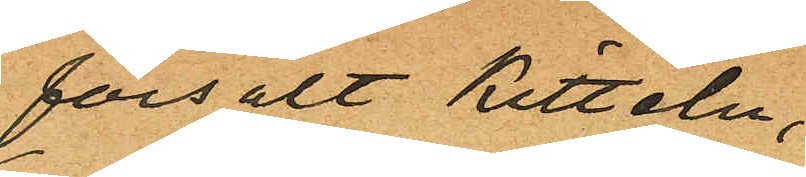försålt kitteln,
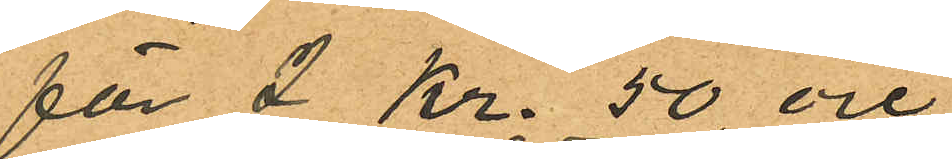för 2 Kr. 50 öre
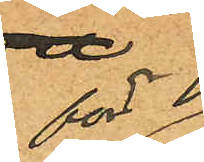för
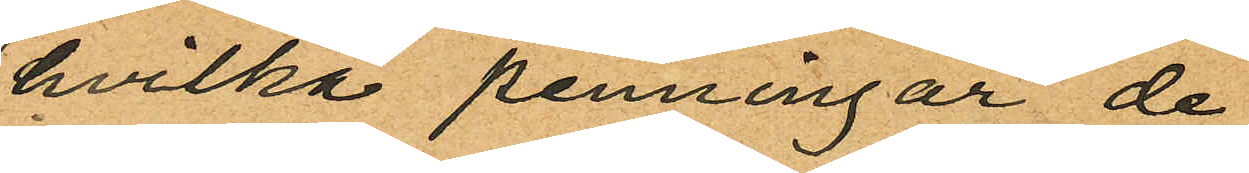hvilka penningar de
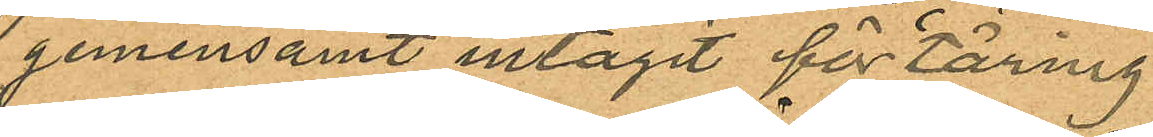gemensamt intagit förtäring
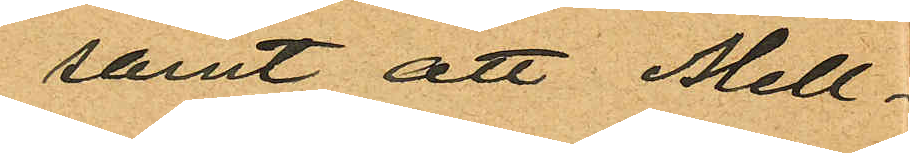samt att Mell¬
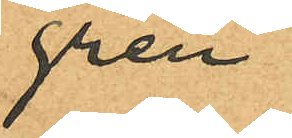gren
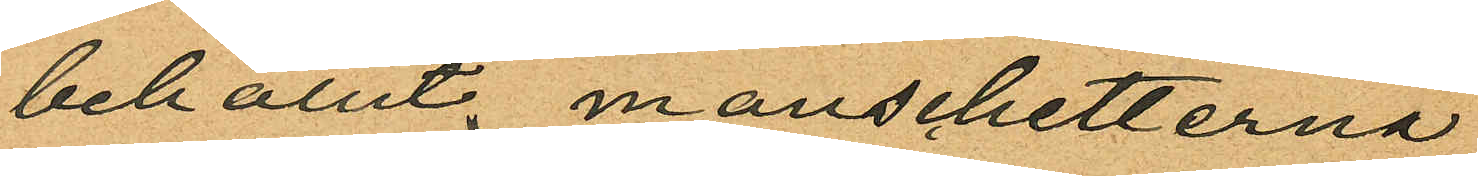behållit manschetterna
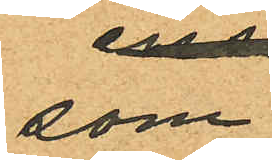som
